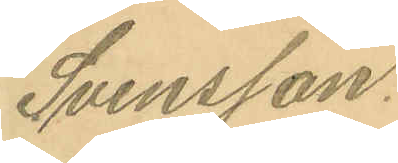Svensson.
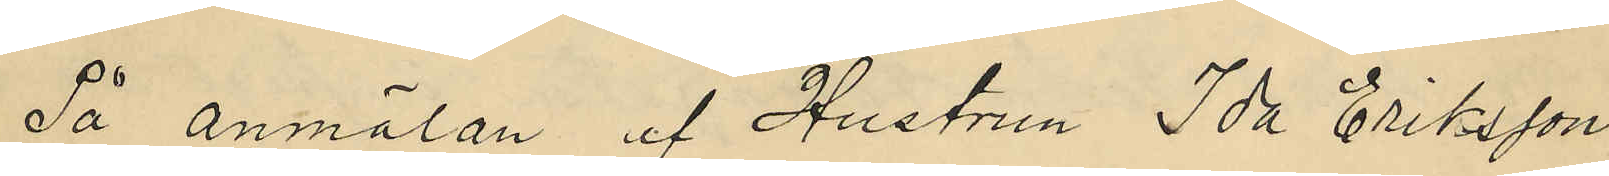På anmälan af Hustrun Ida Eriksson,
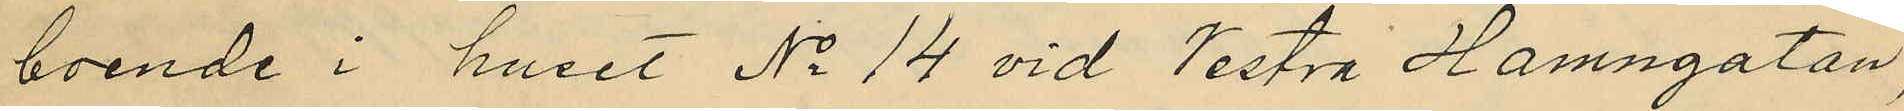boende i huset No 14 vid Vestra Hamngatan,
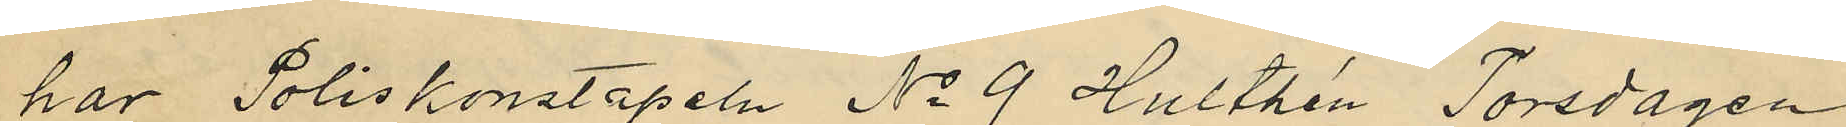har Poliskonstapeln No 9 Hulthén Torsdagen
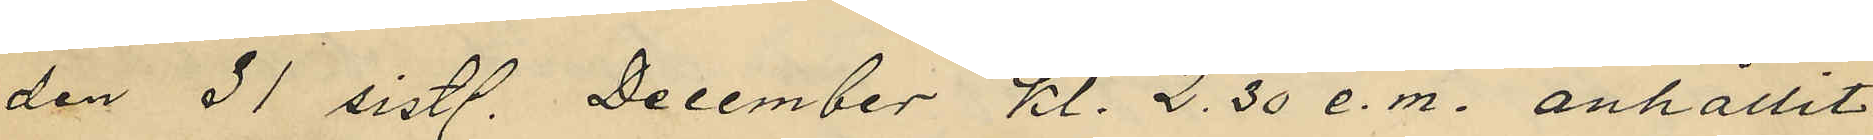den 31 sistl. December kl. 2.30 e.m. anhållit
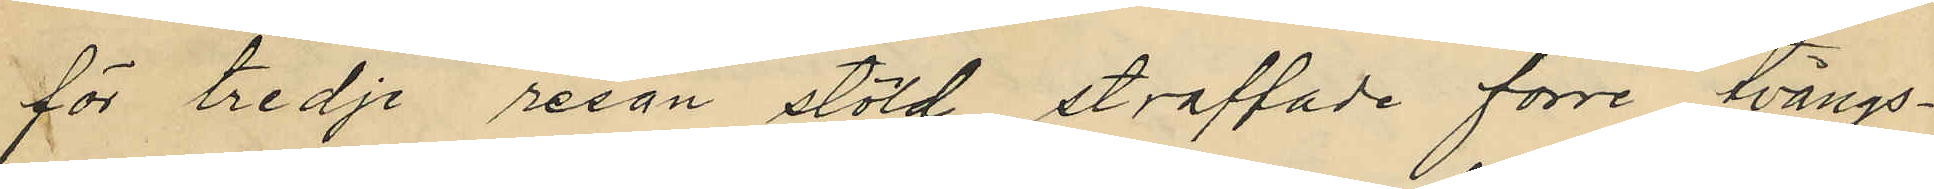för tredje resan stöld straffade förre tvångs¬
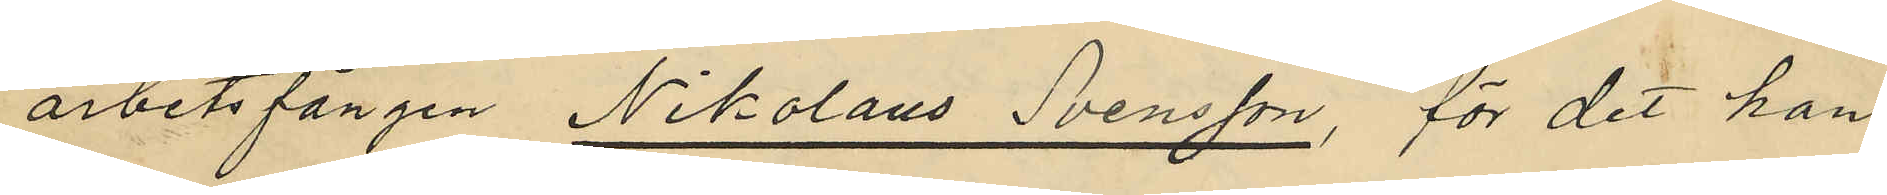arbetsfången Nikolaus Svensson, för det han
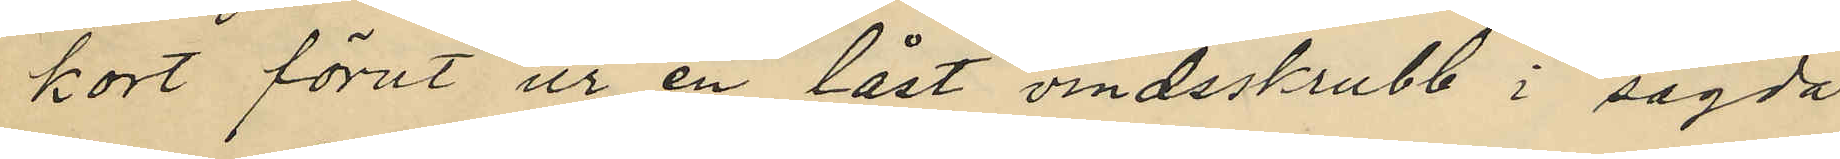kort förut ur en låst vindsskrubb i sagda
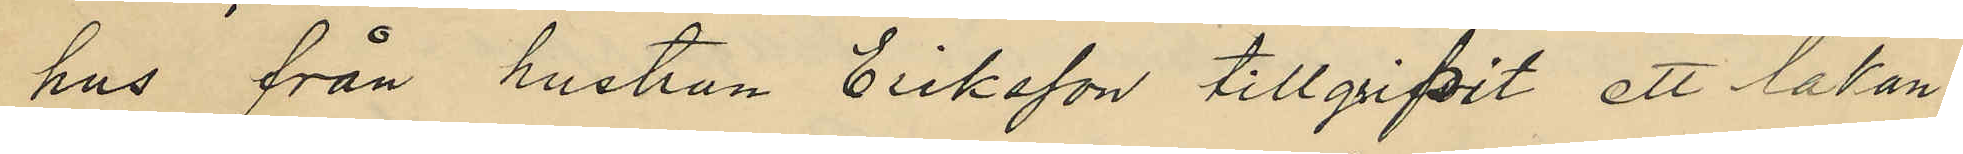hus från hustrun Eriksson tillgripit ett lakan
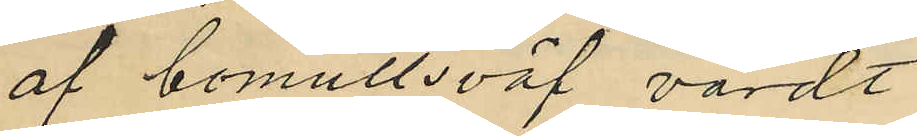af bomullsväf, värdt
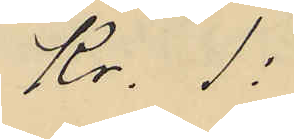Kr. 1:
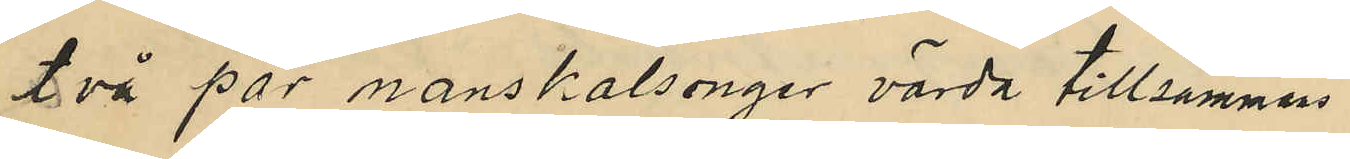två par manskalsonger värda tillsammans
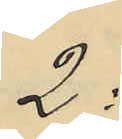2:
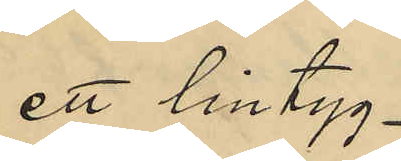ett lintyg
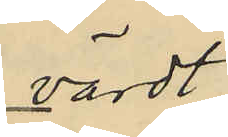värdt
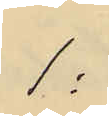1:
